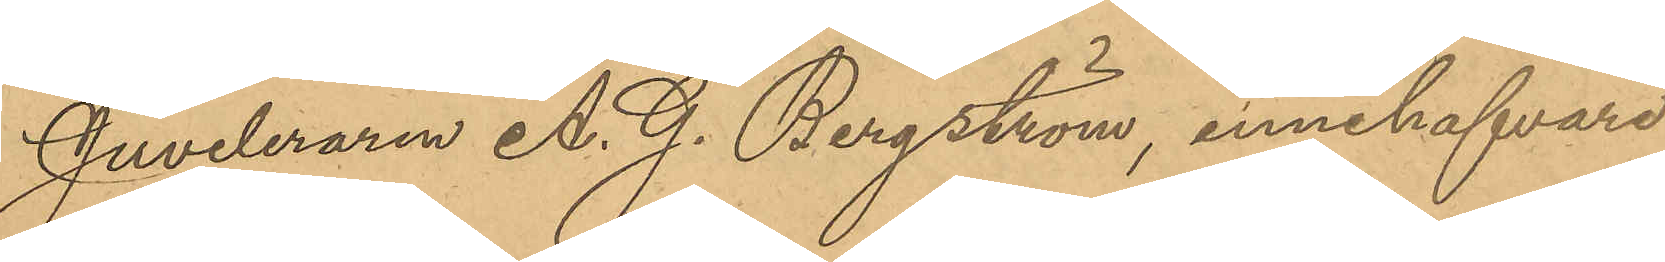Juveleraren A. G. Bergström, innehafvare
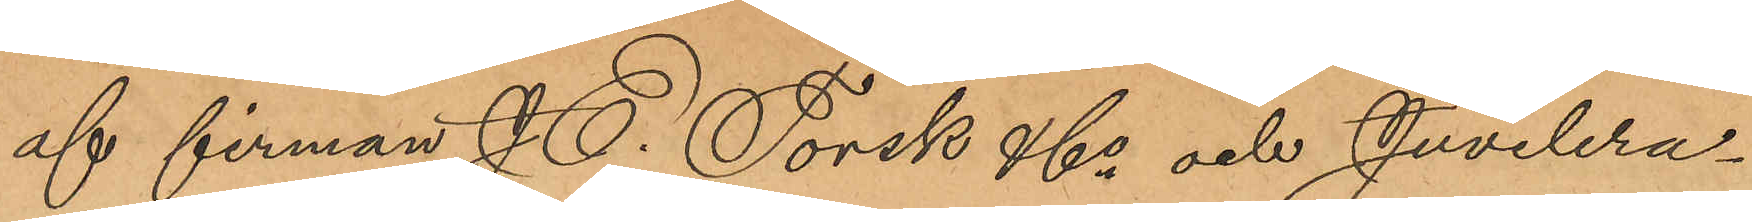af firman J. E. Torsk & Co och Juvelera¬
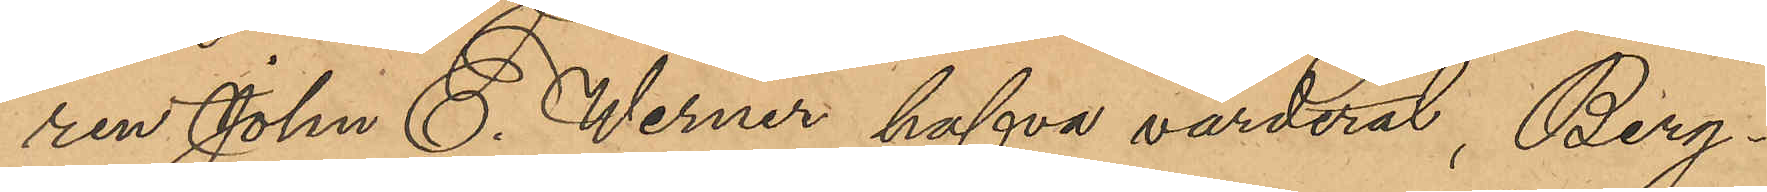ren Johan C. Werner hafva värderat, Berg¬
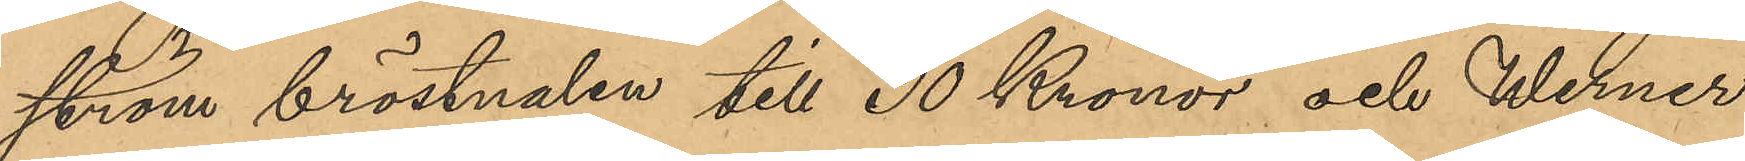ström bröstnalen till 30 Kronor och Werner
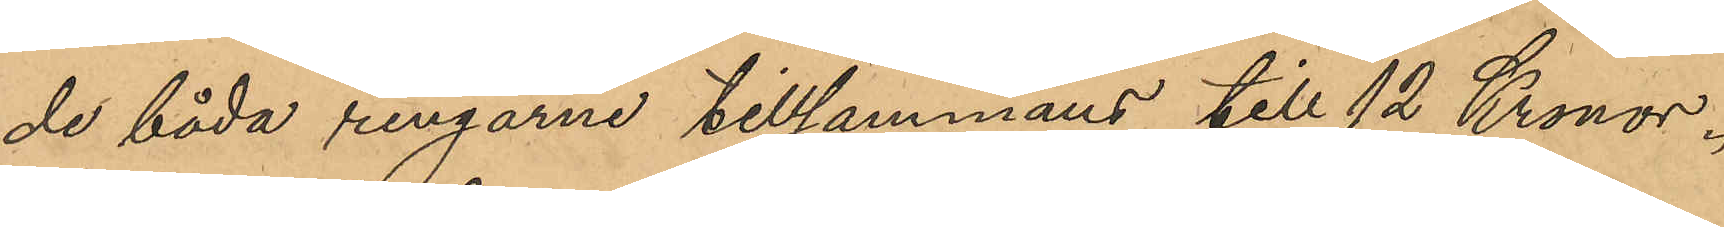de båda ringarna tillsammans till 12 Kronor.
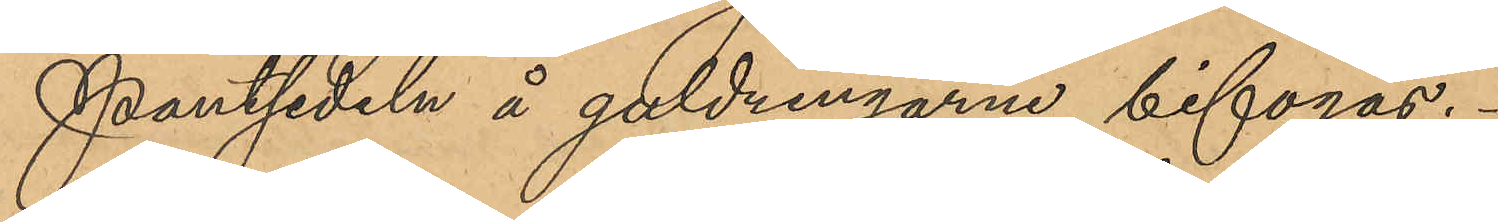Pantsedeln å guldringarna bifogas.
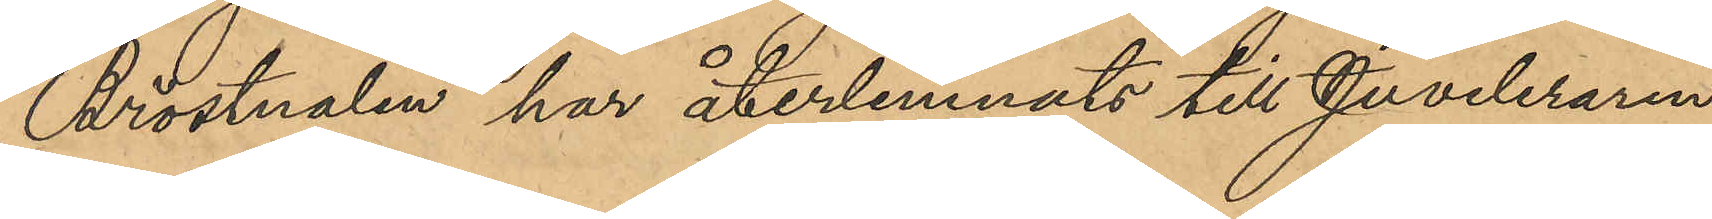Bröstnalen har återlemnats till Juveleraren
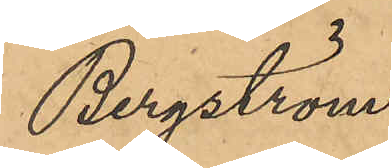Bergström.
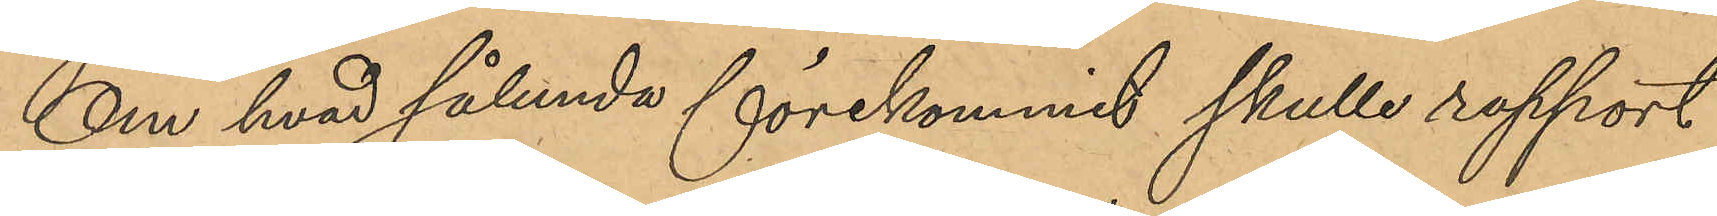Om hvad sålunda förekommit skulle rapport
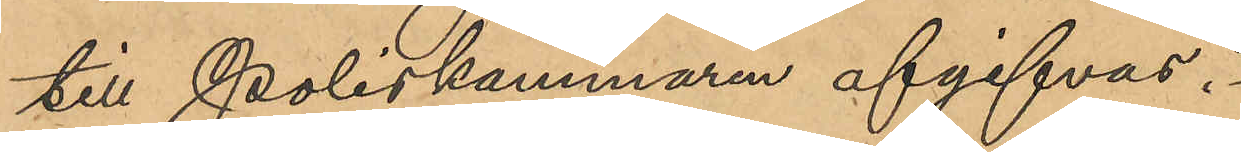till poliskammaren afgifvas.
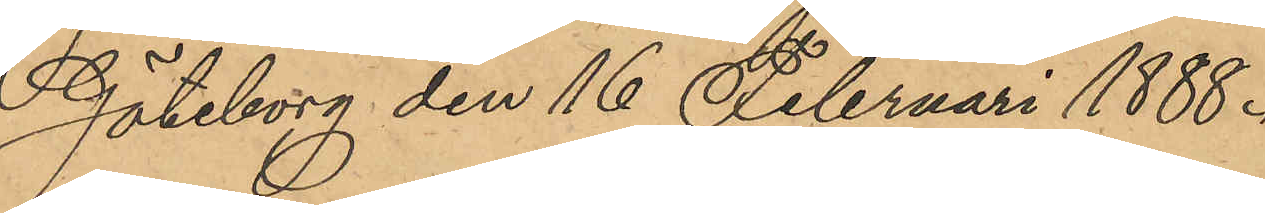Göteborg den 16 Februari 1888.
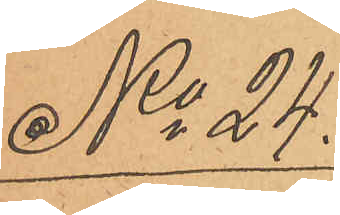No 24.
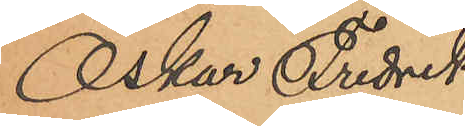Oskar Fredrik
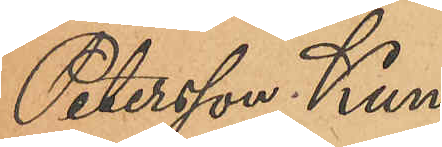Petersson Kunc¬
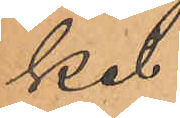kel.
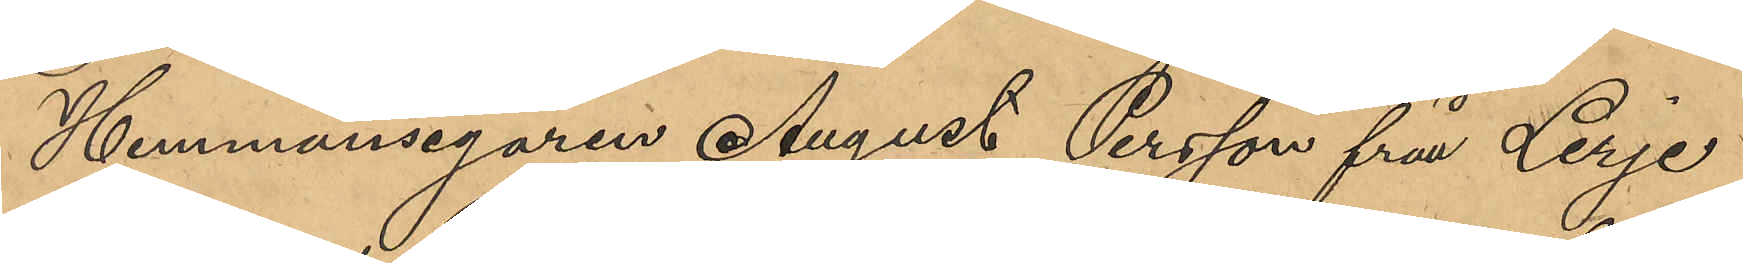Hemmansegaren August Persson från Lerje
